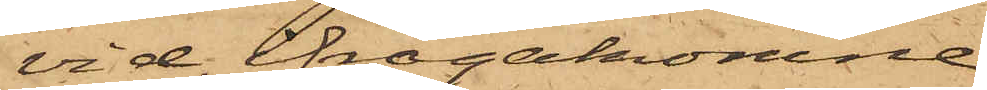vid ifrågakomne
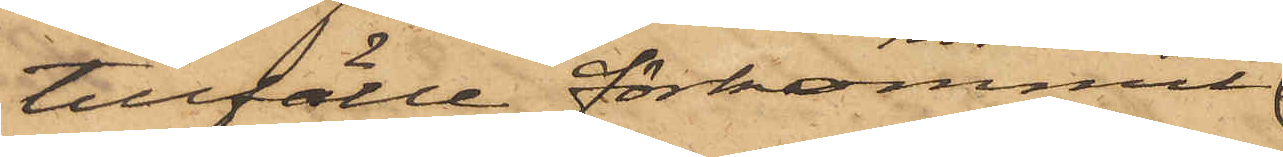tillfälle förkommit
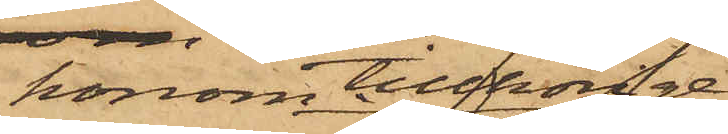honom tillhörige
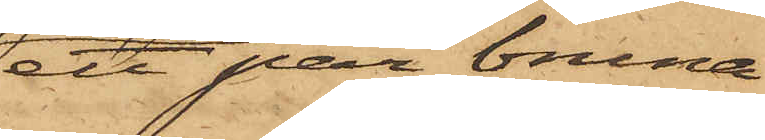ett par bruna
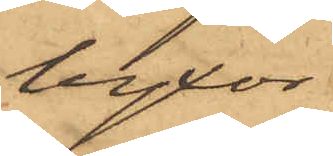byxor
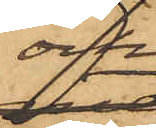och
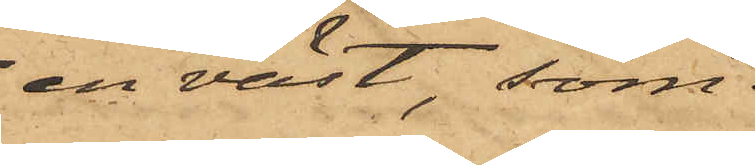en väst, som
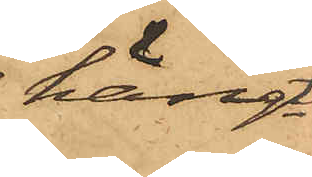hängt
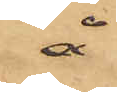å
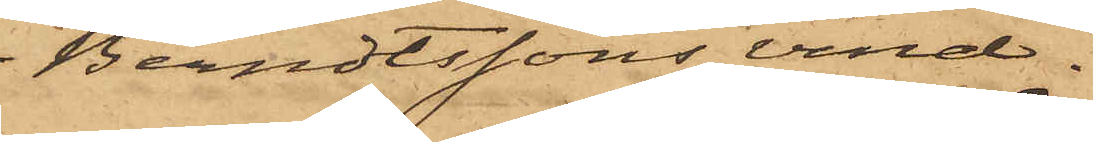Berndtssons vind.
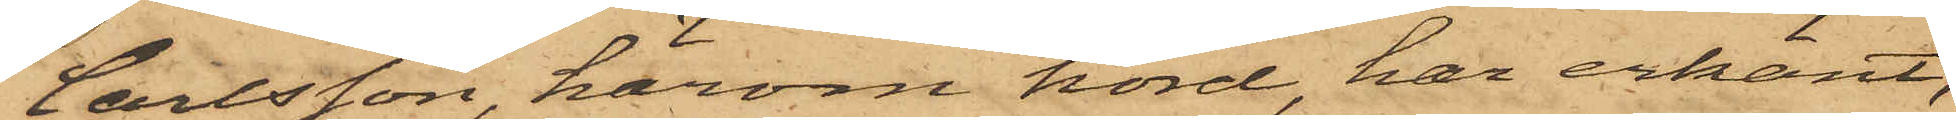Carlsson, härom hörd, har erkänt,
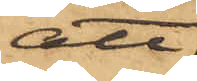att
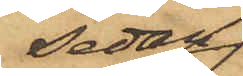sedan
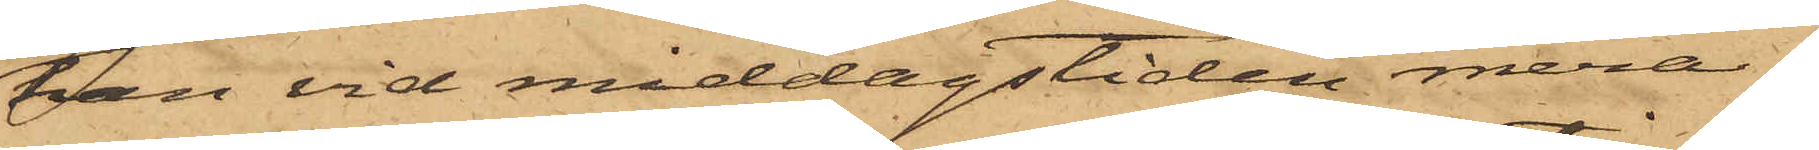han vid middagstiden mera¬
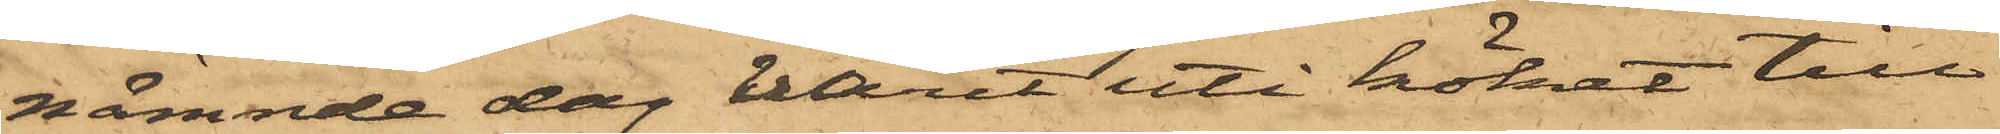nämnde dag varit uti köket till
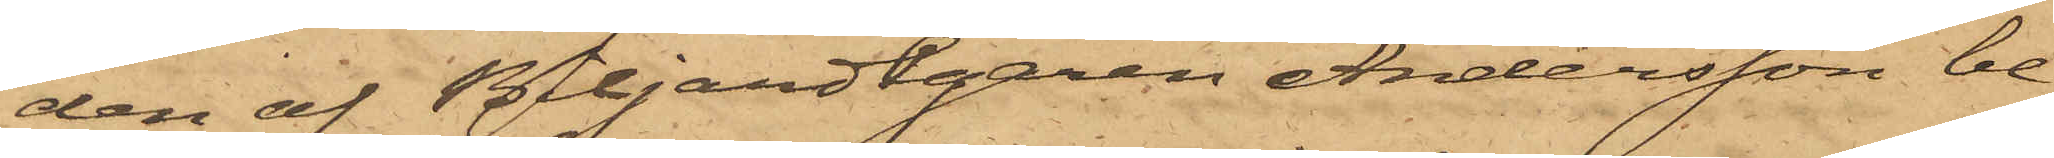den af BiljardEgaren Andersson be¬
